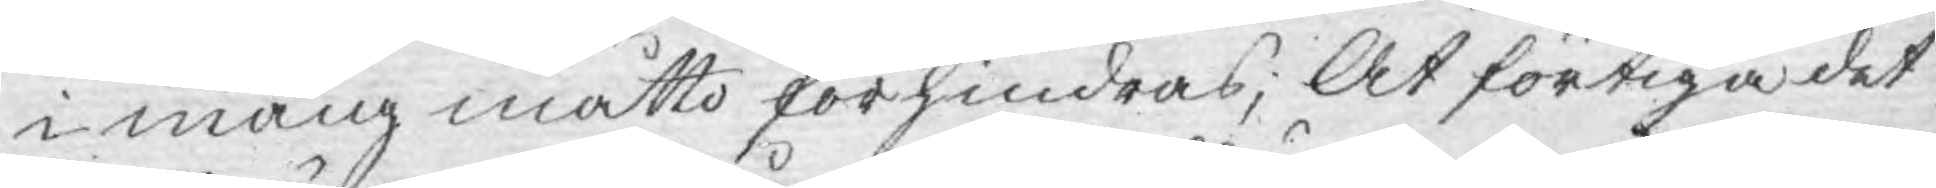i mång måtto förhindras; At förtiga det
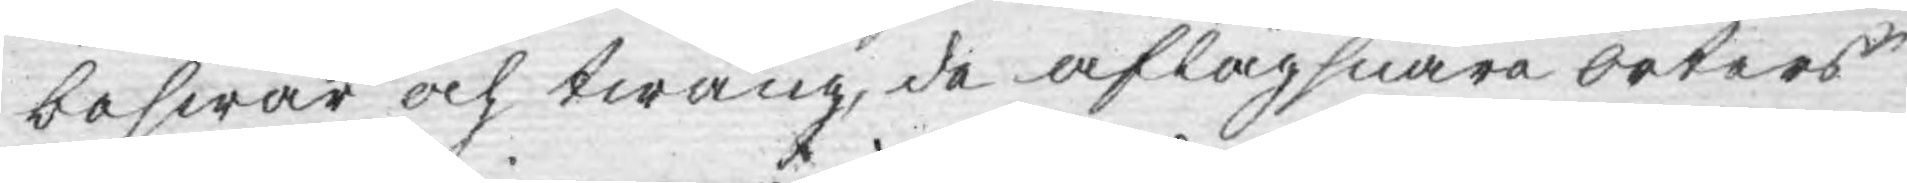beswär och twång, de aflägsnare orters
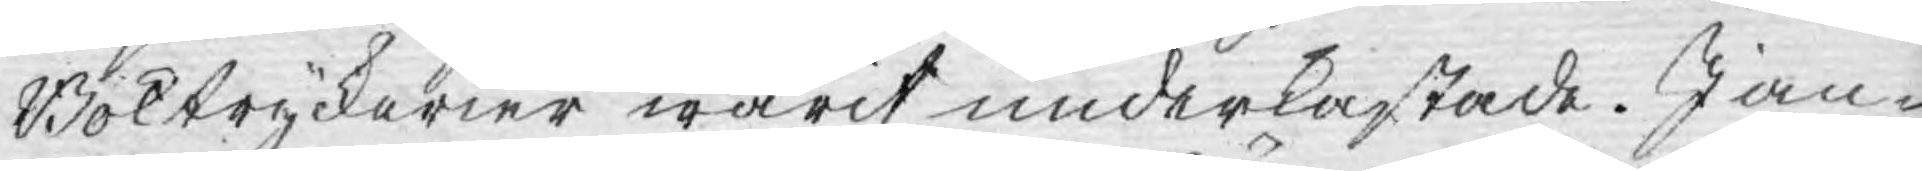Boktryckerier warit underkastade. I an¬
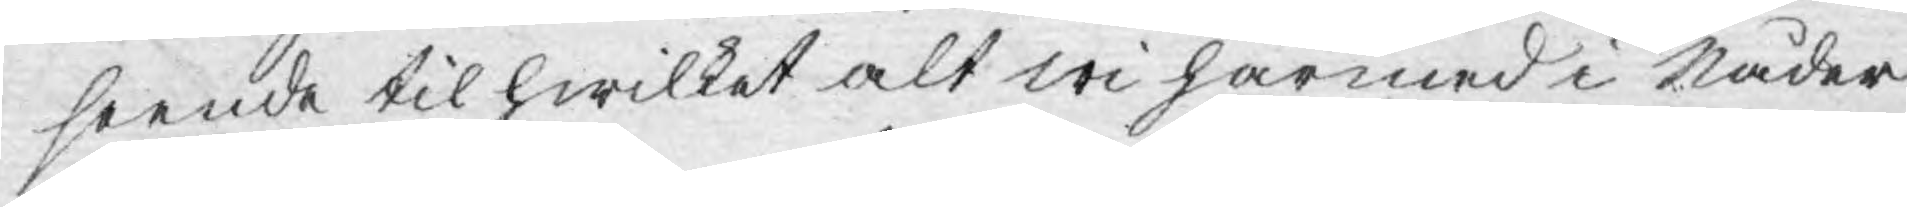seende til hwilket alt wi härmed i Nåder
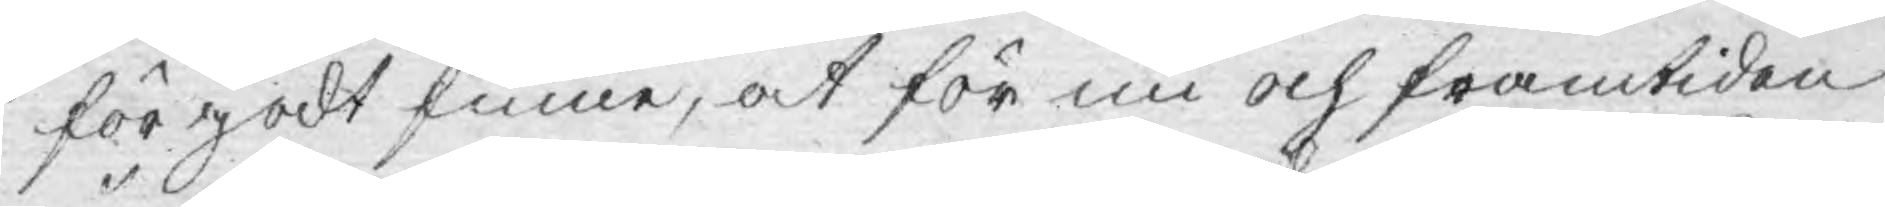för godt finne, at för nu och framtiden
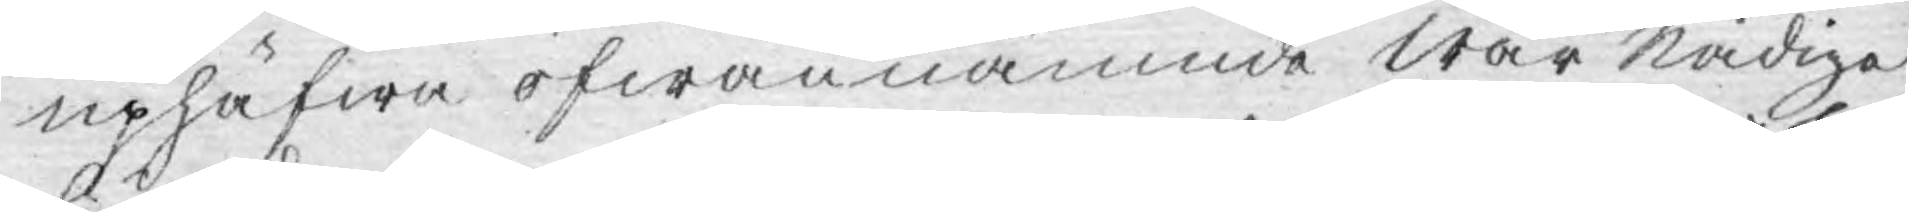uphäfwa ofwannämnde Wår Nådiga
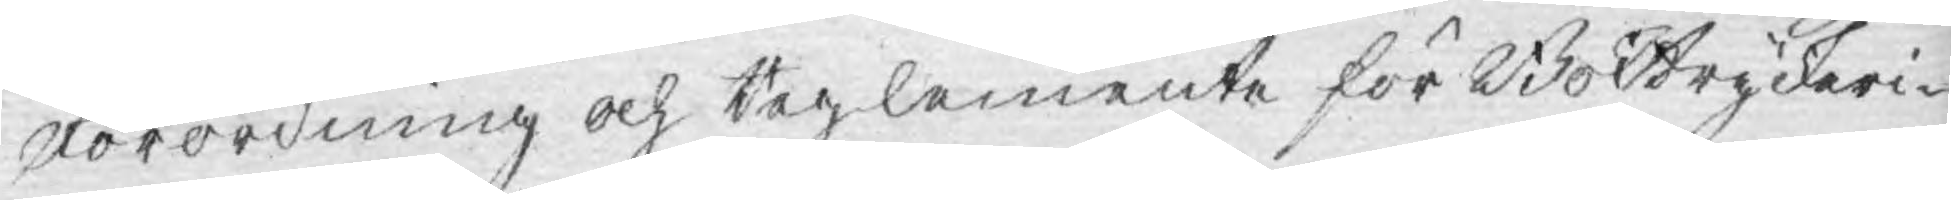Förordning och Reglemente för Boktryckeri¬
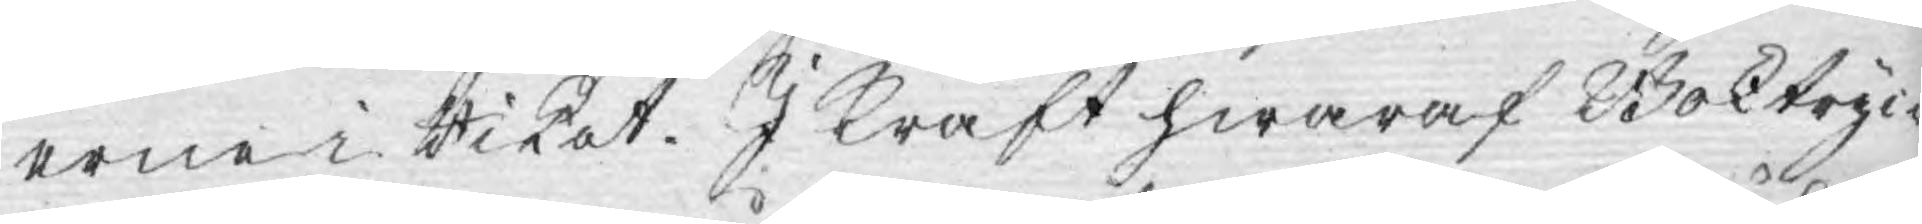erne i Riket. I Kraft hwaraf Boktryc¬
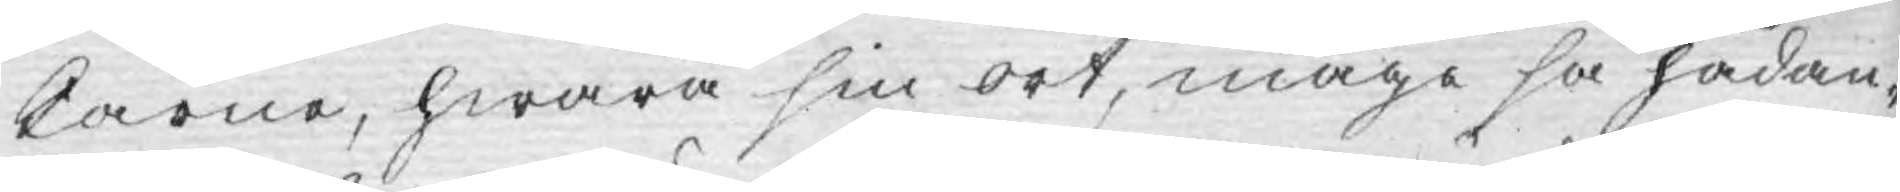karne, hwarå sin ort, måge så hädan¬
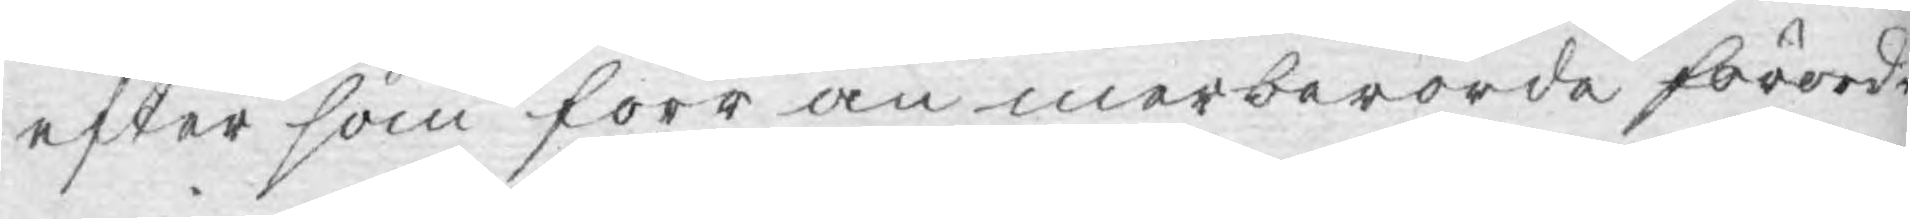efter som förr än merberörde förord¬
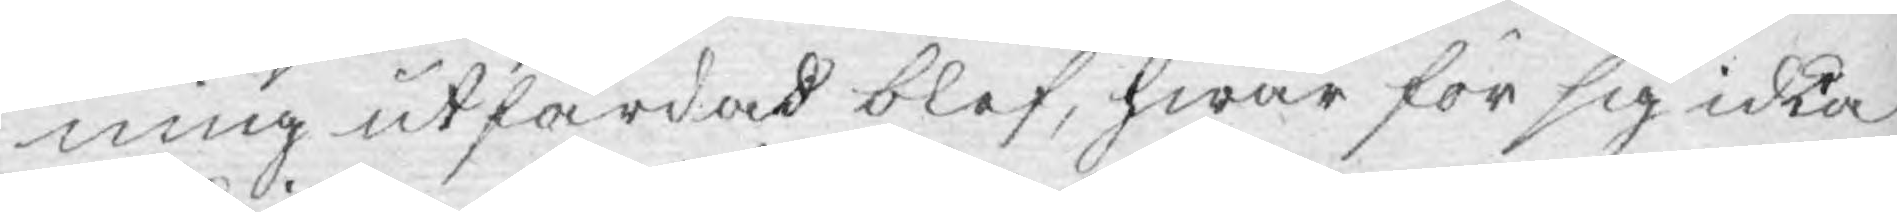ning utfärdad blef, hwar för sig icke
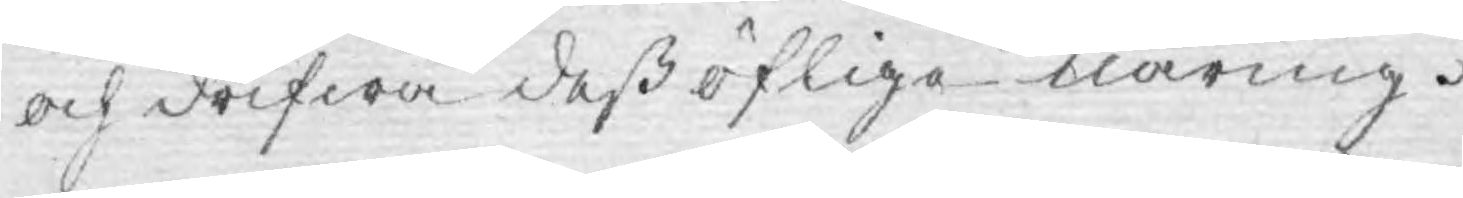och drifwa dess öfliga näring.
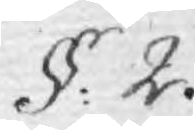§. 2.
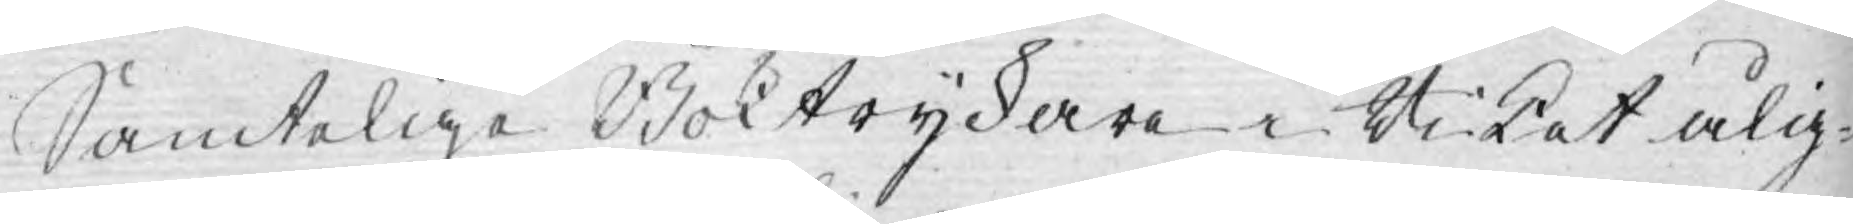Samtelige Boktryckare Riket ålig¬
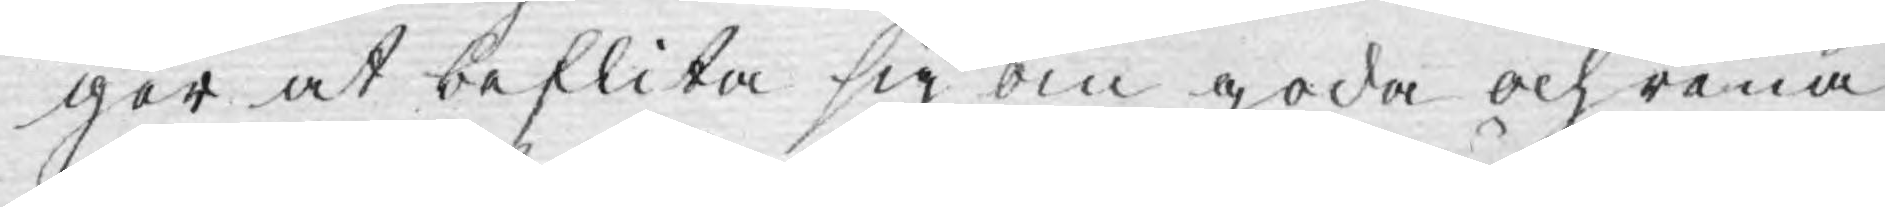ger at beflita sig om goda och rena
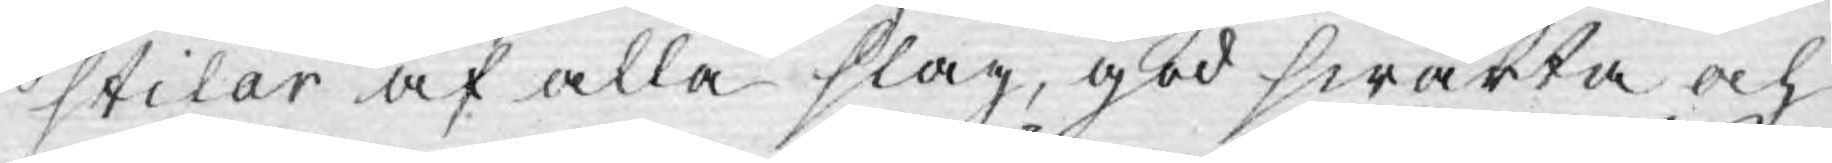stilar af alla slag, god swärta och
